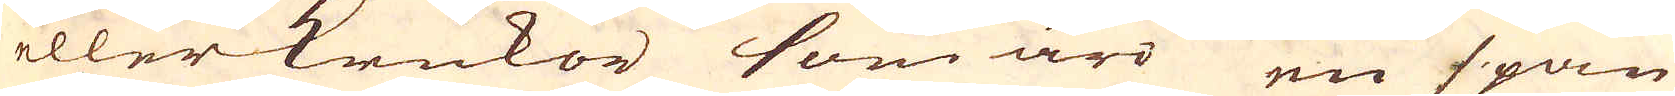eller krukor som äro en span
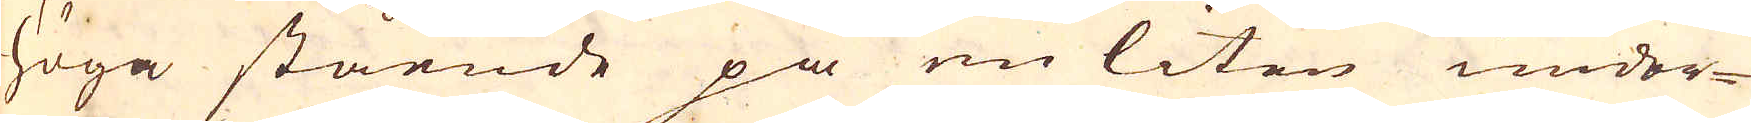höga stående på en liten under-
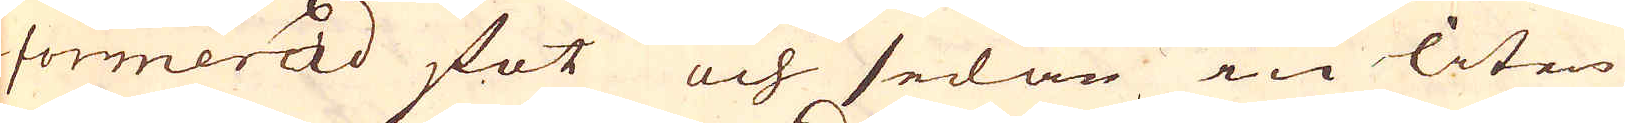formerad fot och sedan en liten
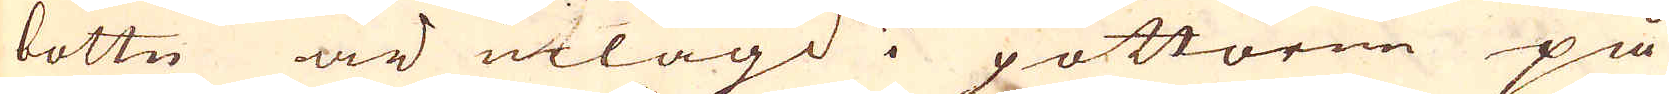bottn är utlagd i pottorne på
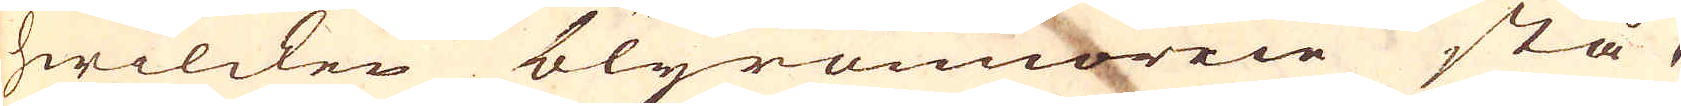hwilcken blyrennorne stå,
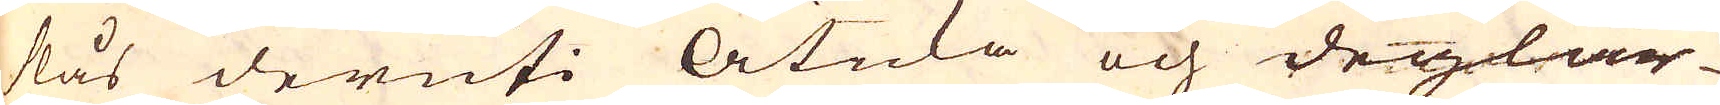slås deruti Äticka och deglar-
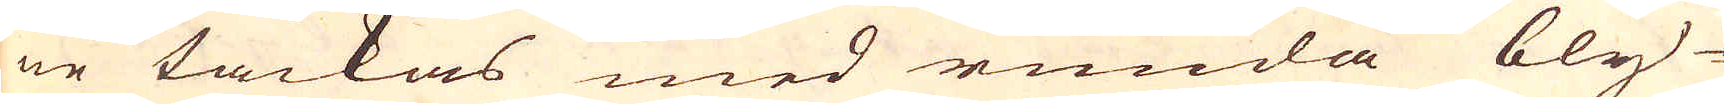ne täckas med runda bly-
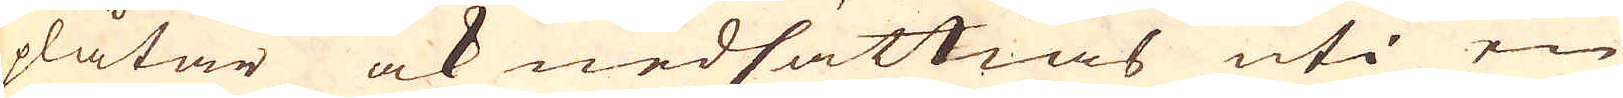plåtar ock nedsättias uti en
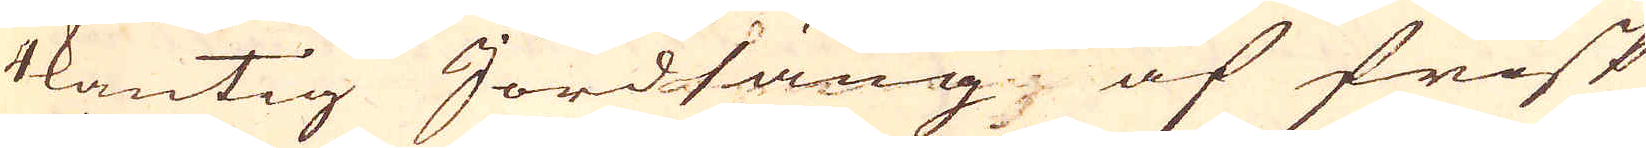4kantig Jordsäng, af frisk
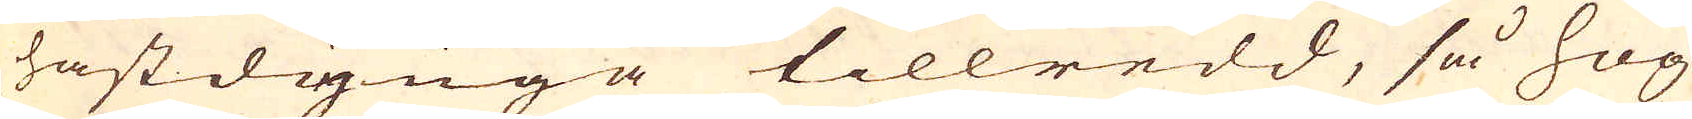hästdynga tillredd, så hög
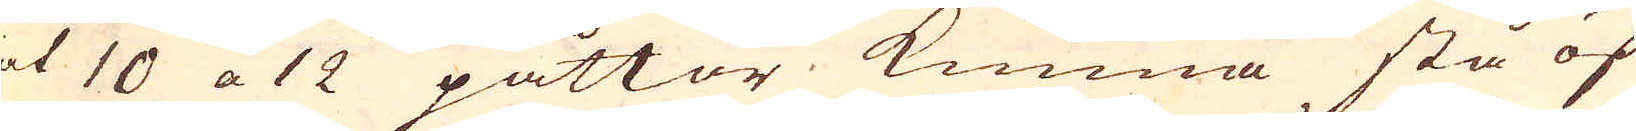et 10 a 12 påttor kunna stå öf-
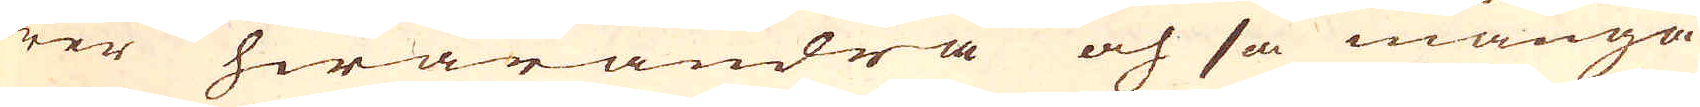wer hwarandra och så många
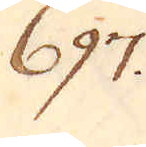697.
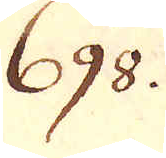698.
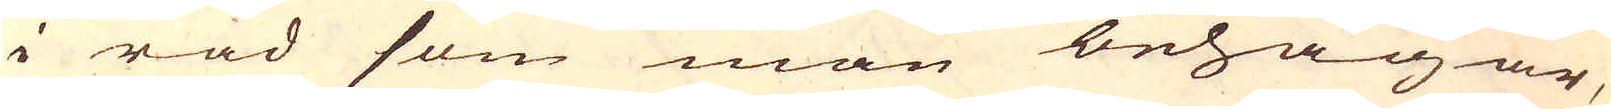i rad som man behagar,
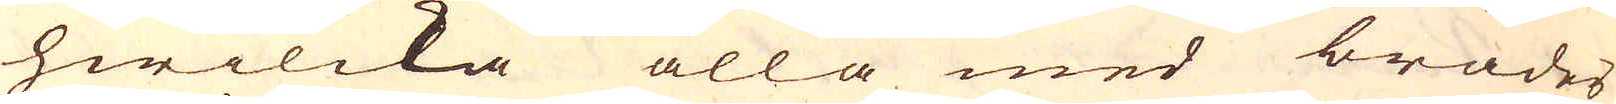hwilcka alla med bräder
